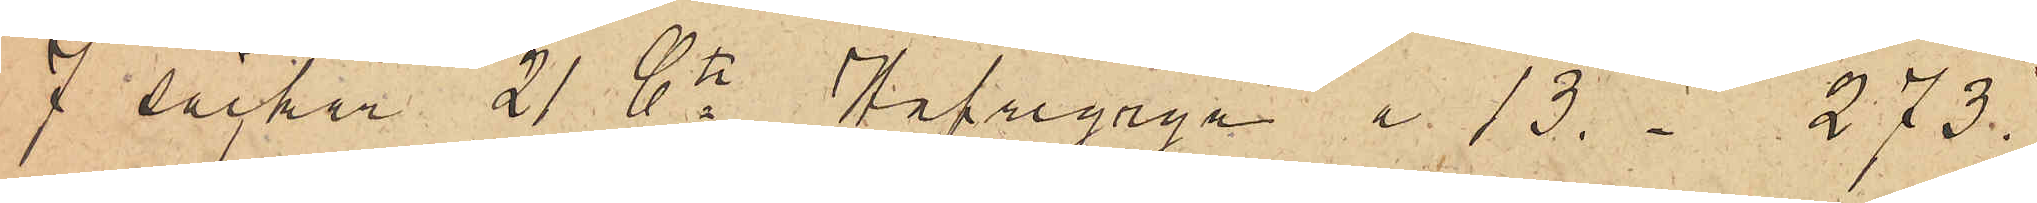7 säckar 21 Ctr Hafregryn  a 13.- 273.
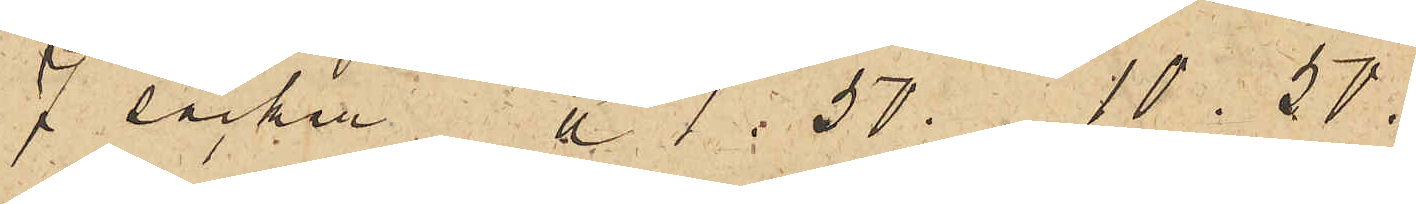7 säckar a 1.50.
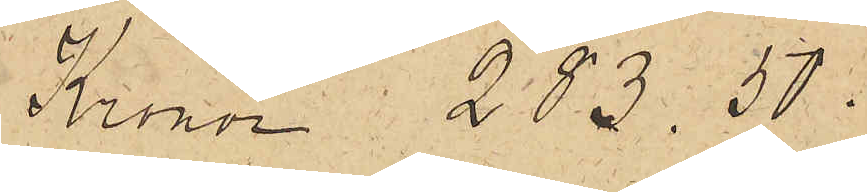Kronor 283.50:
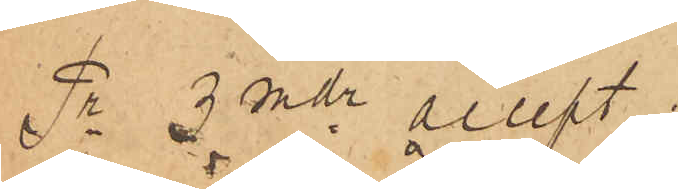Pr 3 mdr accept
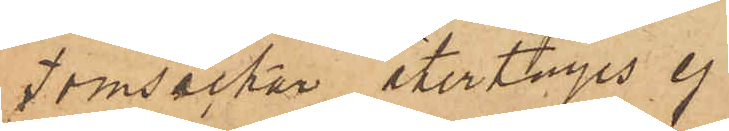Tomsäckar återtages ej.
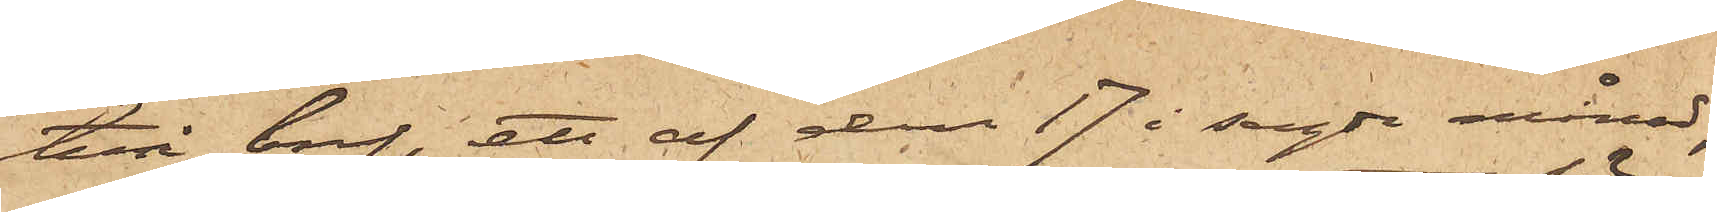två bref, ett af den 17 i sagde månad,
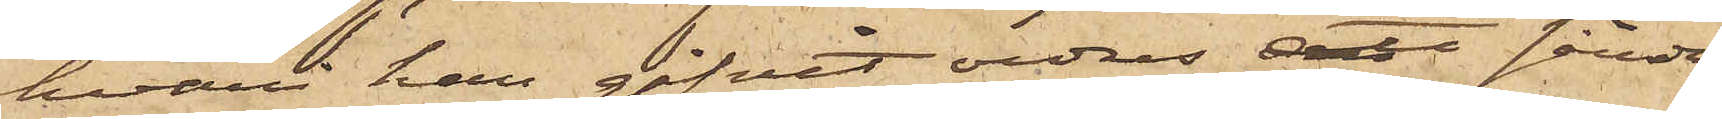hvar han gifvit ordres att sända
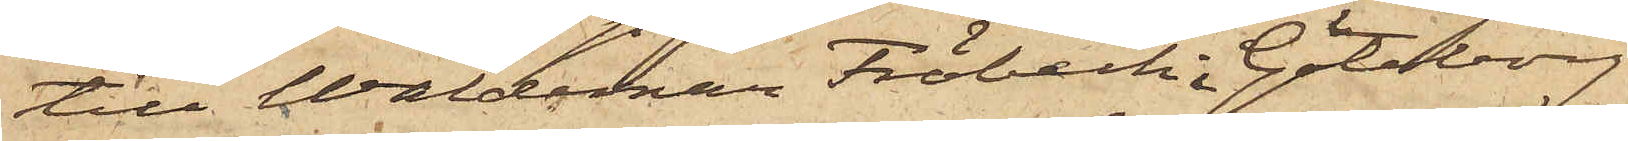till Waldemar Fröbeck i Göteborg
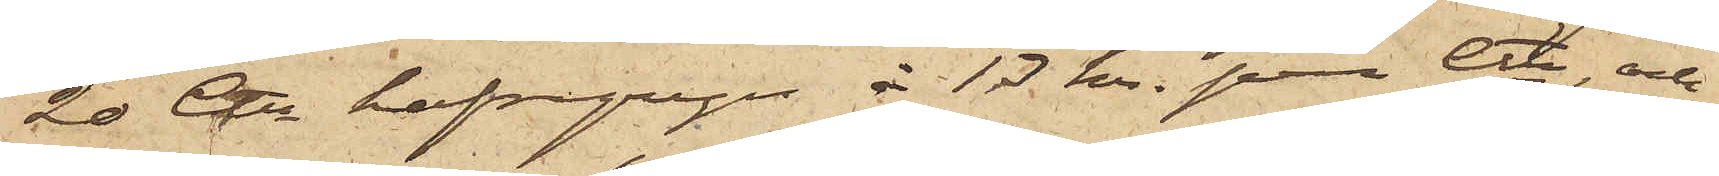20 Ctr  hafregryn à 13 kr. per Ctr, och
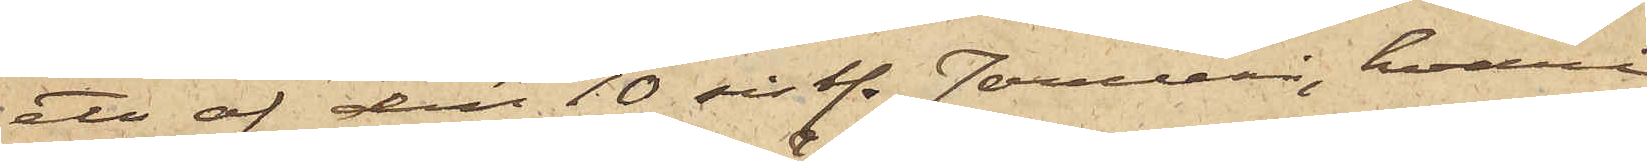ett af den 10 sist. Januari, hvari
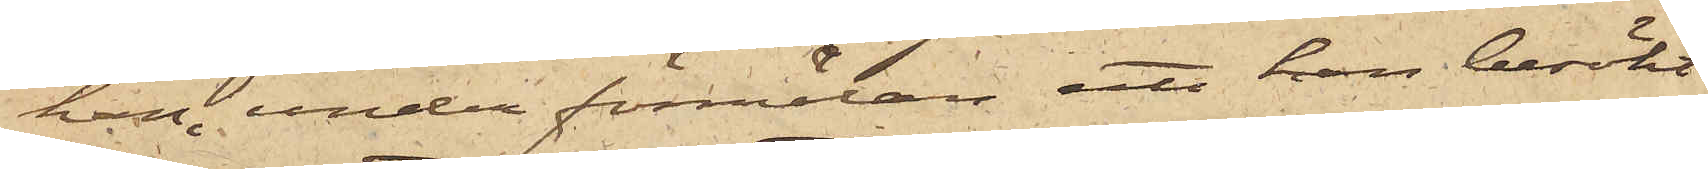han, under förmälan att han besökt
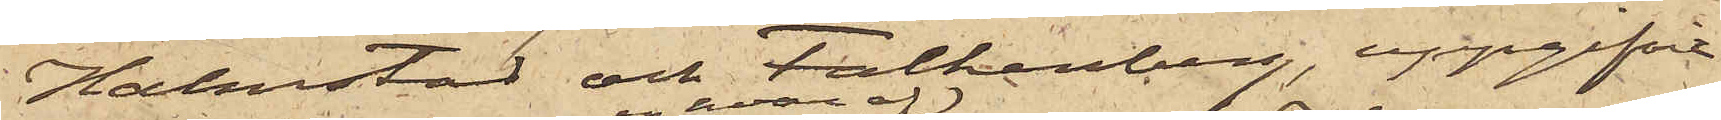Halmstad och Falkenberg, uppgifvit
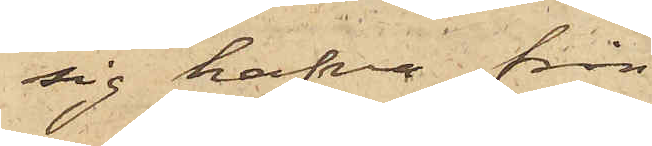sig hafva från
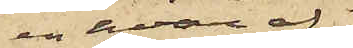enhvar af
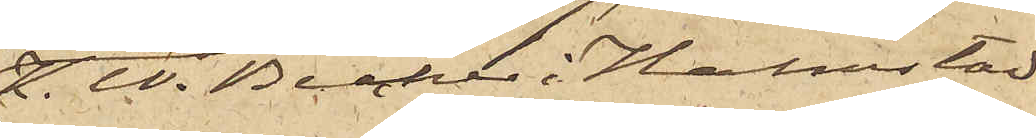K.W. Becker i Halmstad
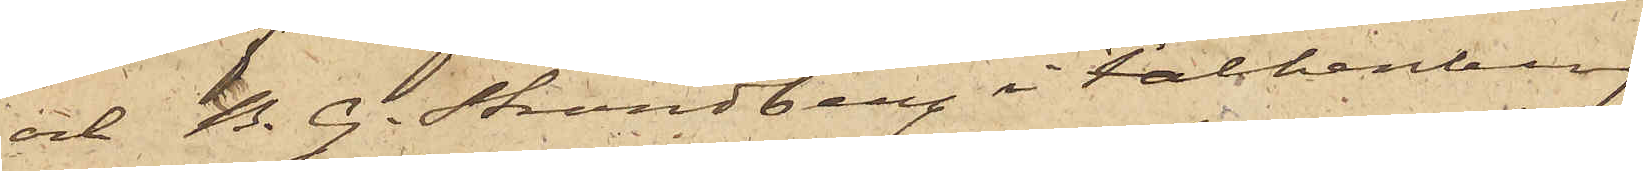och B. G. Strandberg i Falkenberg
